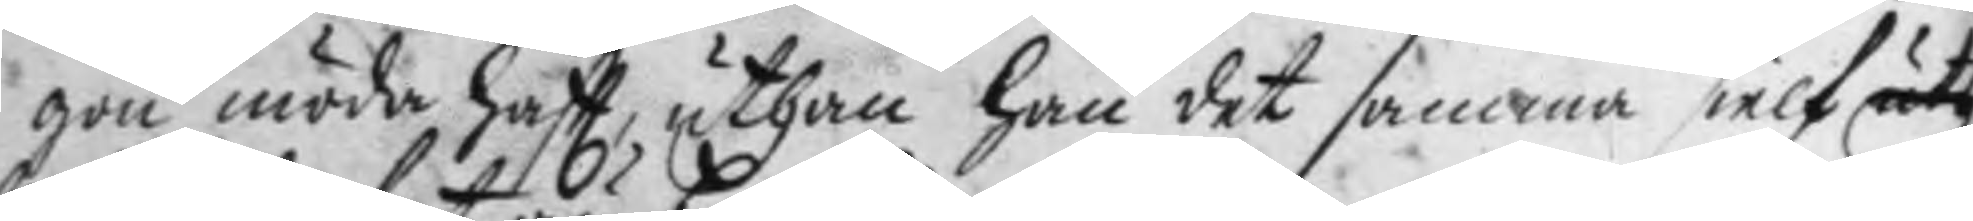gon möda haftt, uthan han det samma sielf uth
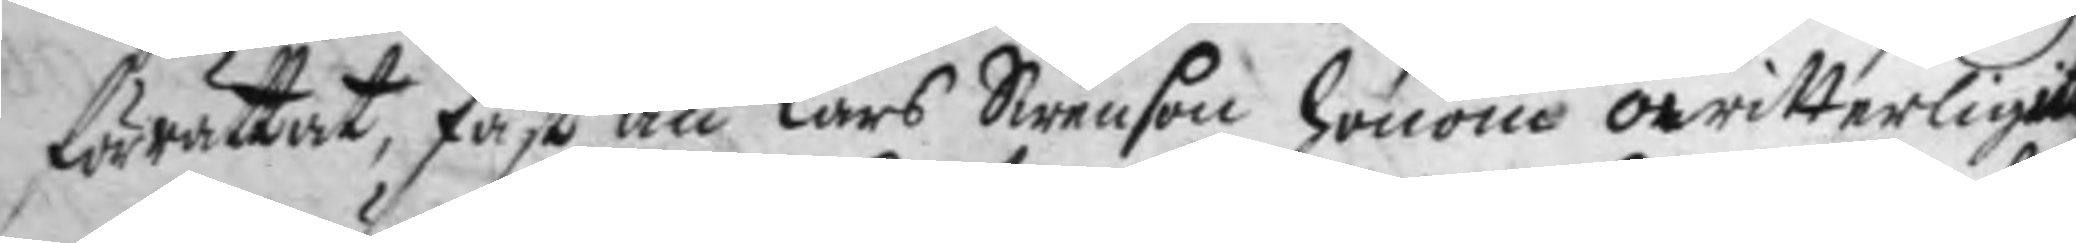förrättat, fast än Lars Swenson honom owitterligit
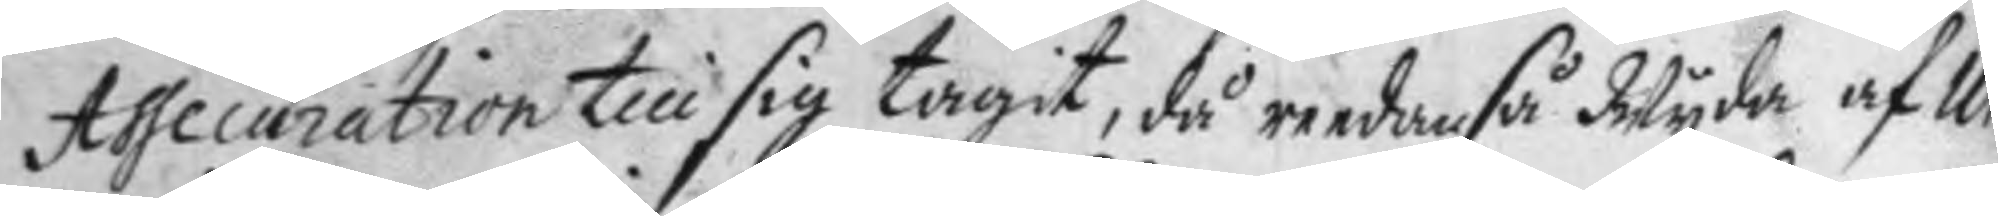Assecuration till sig tagit, då reedan så Wyda af Uhr¬
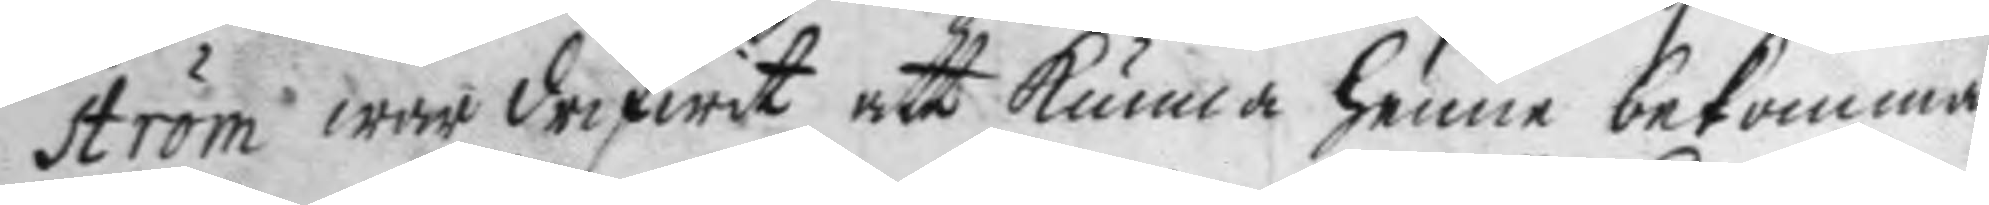ström war drifwit att kunna henne bekomma
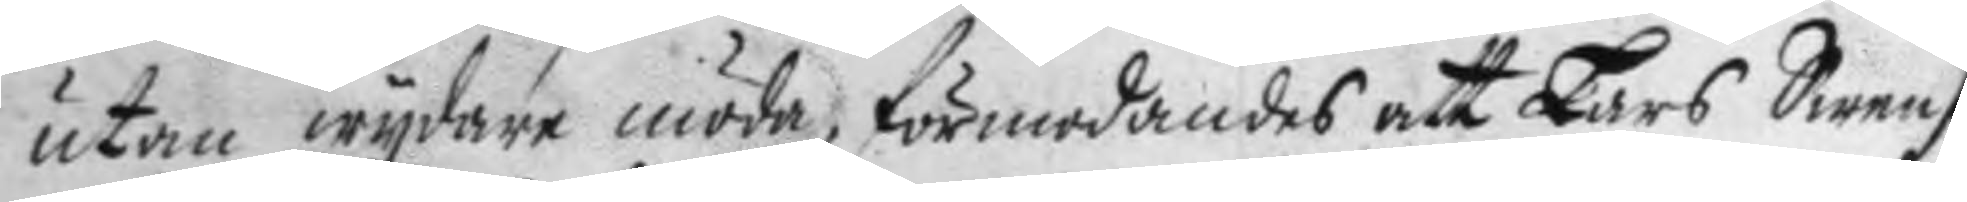utan wydare möda, förmodandes att Lars Swenson
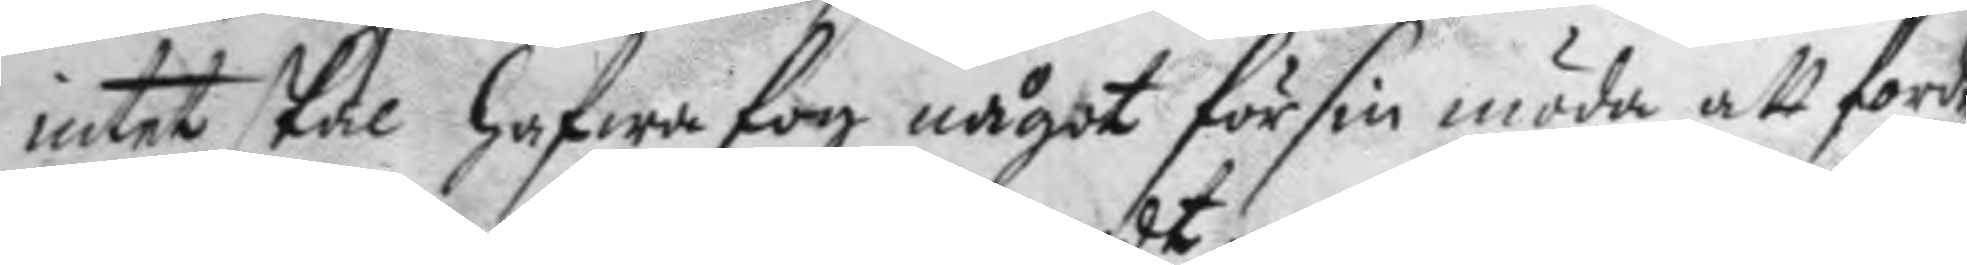intet skal hafwa fog något för sin möda att fordr
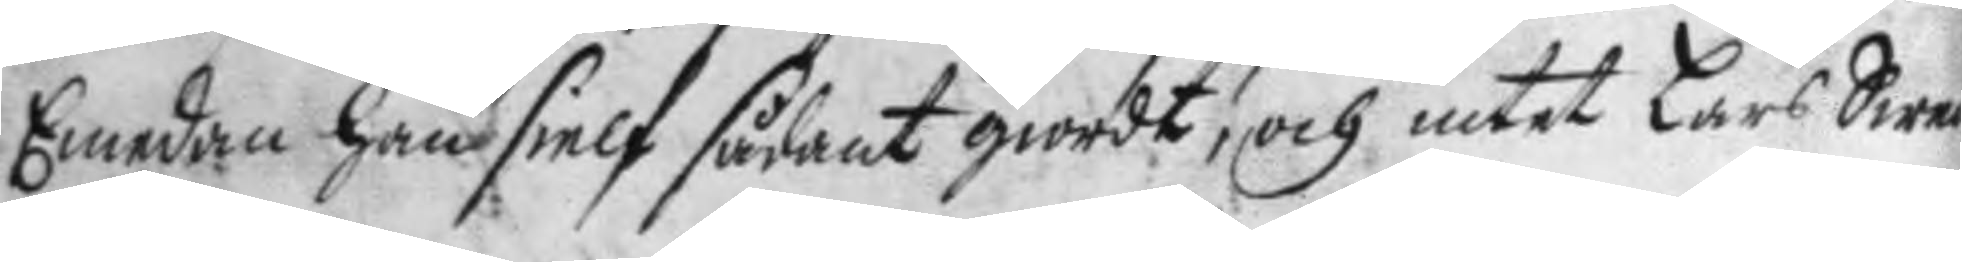Emedan han sielf sådant giordt, och intet Lars Swen¬
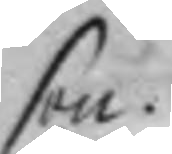son.
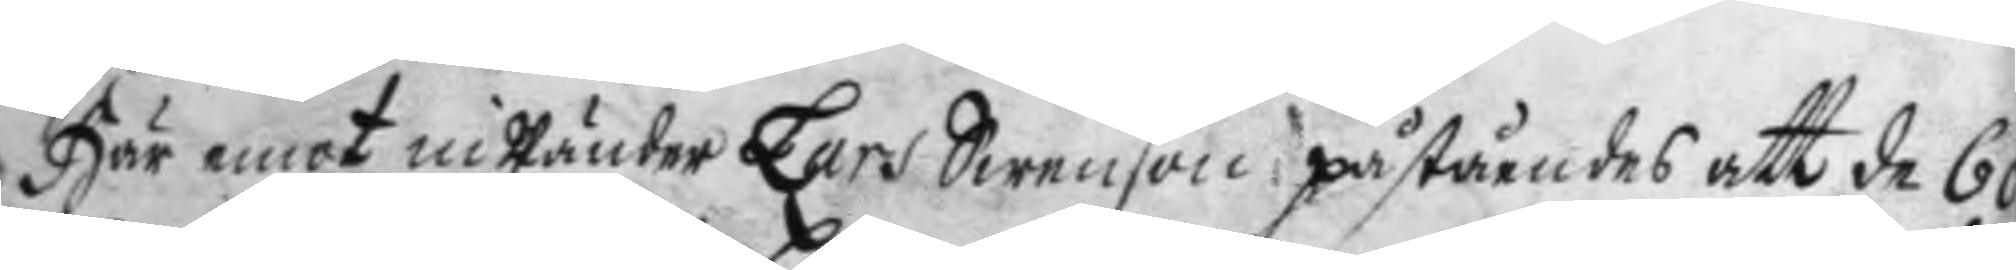Här emot inwänder Lars Swenson påståendes att de 60
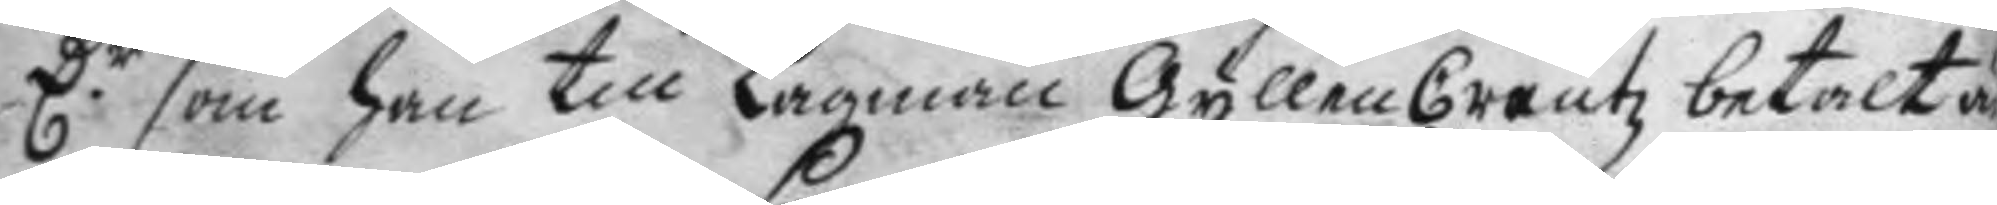D.r som han till Lagman GyllenCreutz betalt är
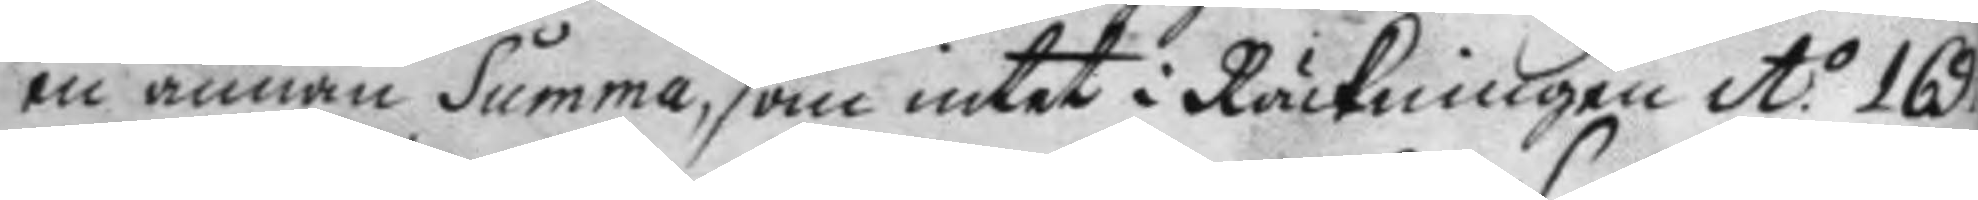en annan Summa, som intet i Räckningen A:o 169
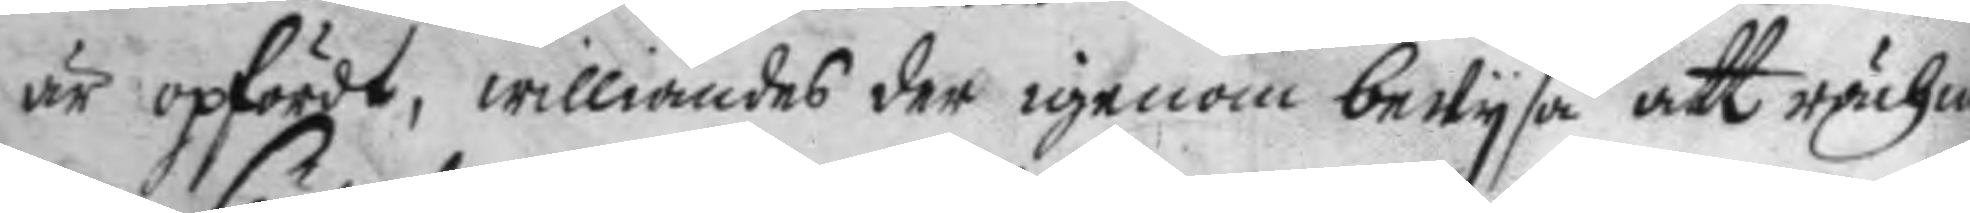är opfördt, williandes der igenom bewysa att rächni¬
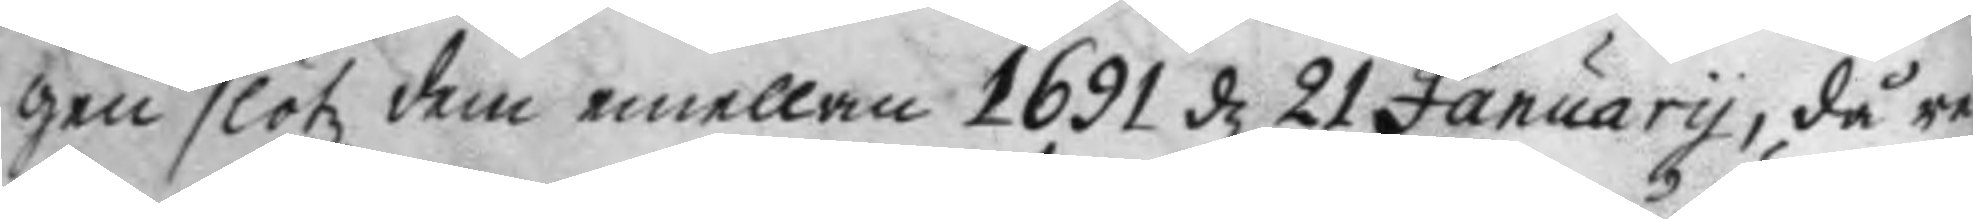gen slötz dem emellan 1691 d 21 January, då re¬
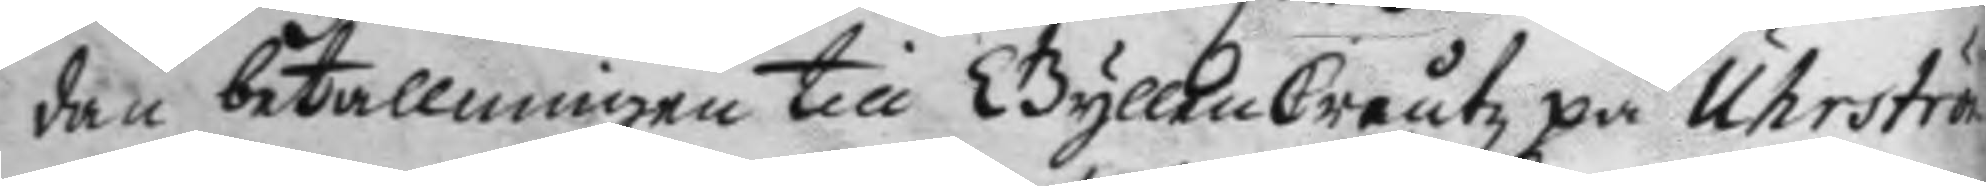dan betallningen till GyllenCreutz på Uhrström
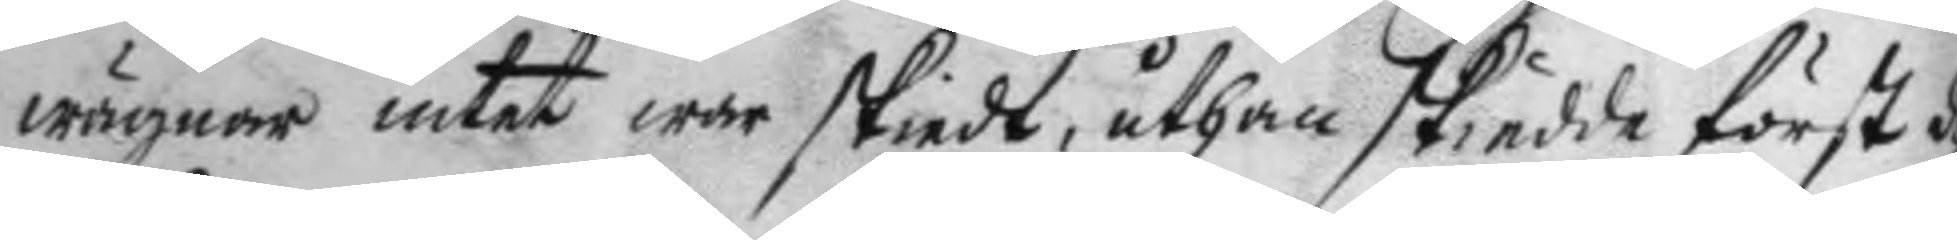wägnar intet war skiedt, uthan skiedde först d
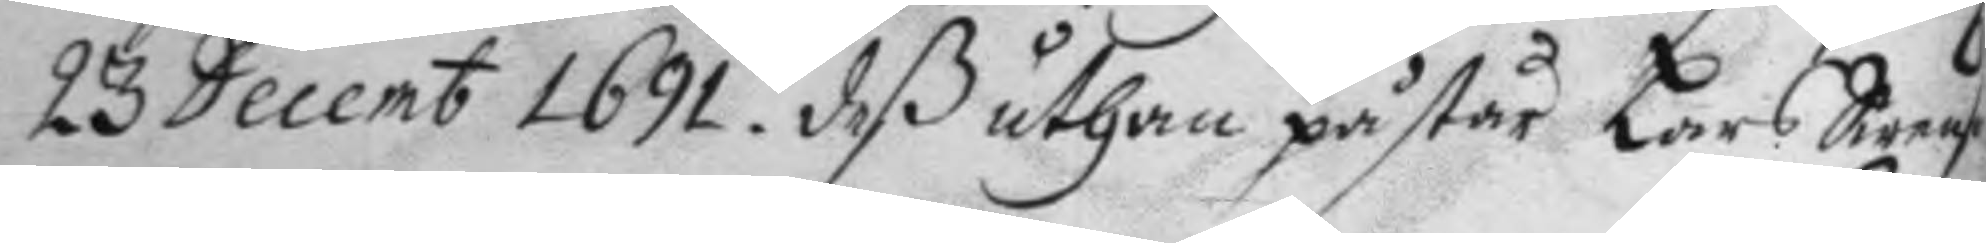23 Decemb 1691, deß uthan påstår Lars Swenson
